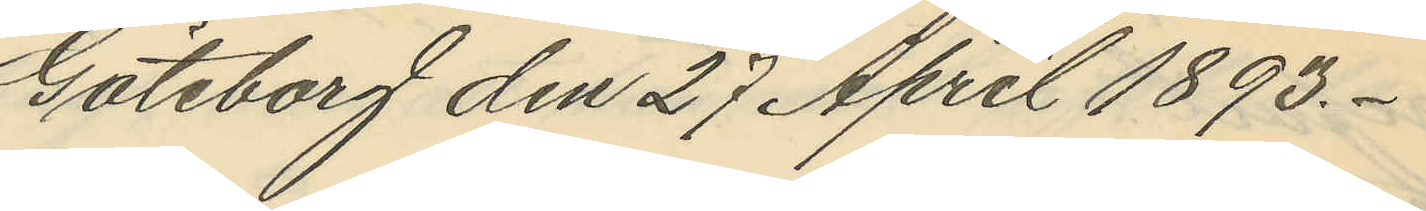Göteborg den 27 April 1893.
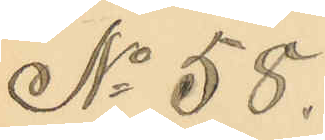No 58.
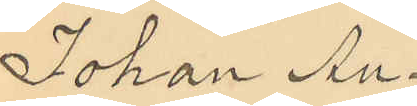Johan Au¬
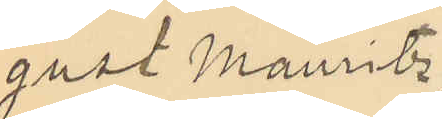gust Mauritz
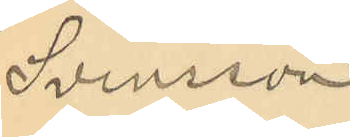Svensson
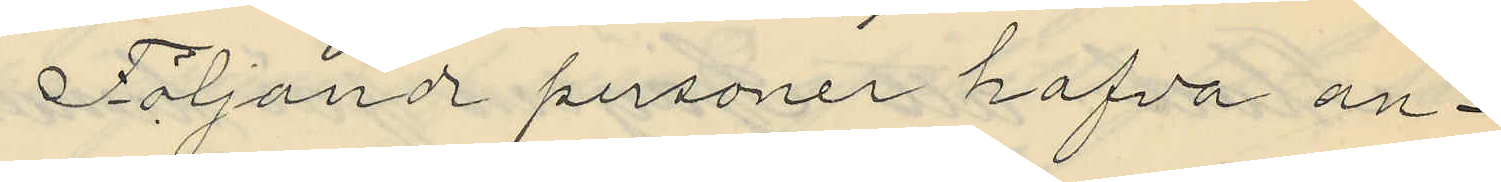Följande personer hafva an¬
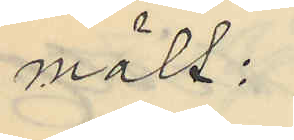mält:
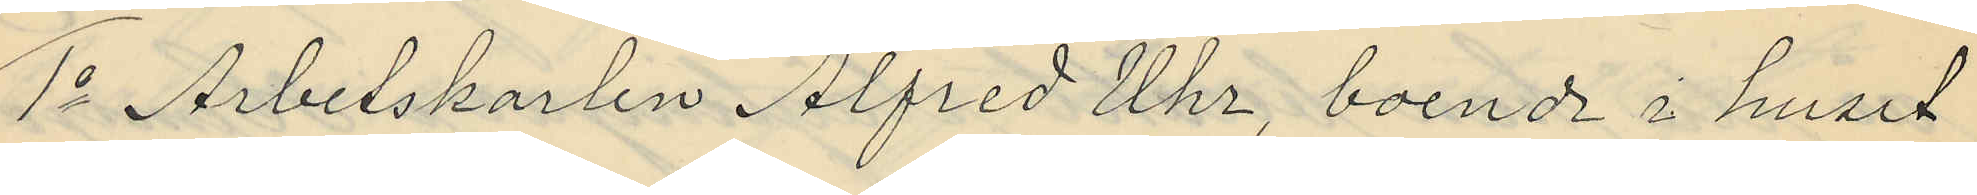1o Arbetskarlen Alfred Uhr, boende i huset
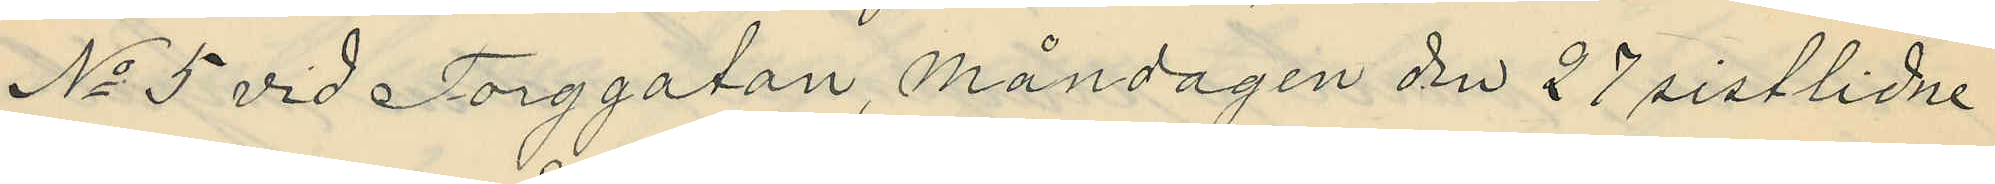No 5 vid Torggatan, Måndagen den 27 sistlidne
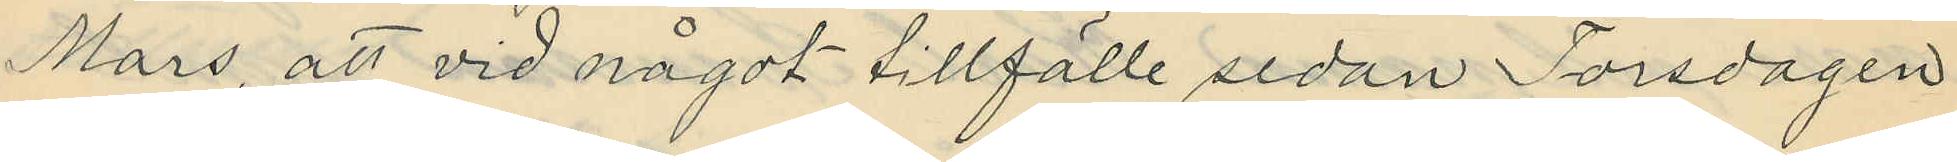Mars, att vid något tillfälle sedan Torsdagen
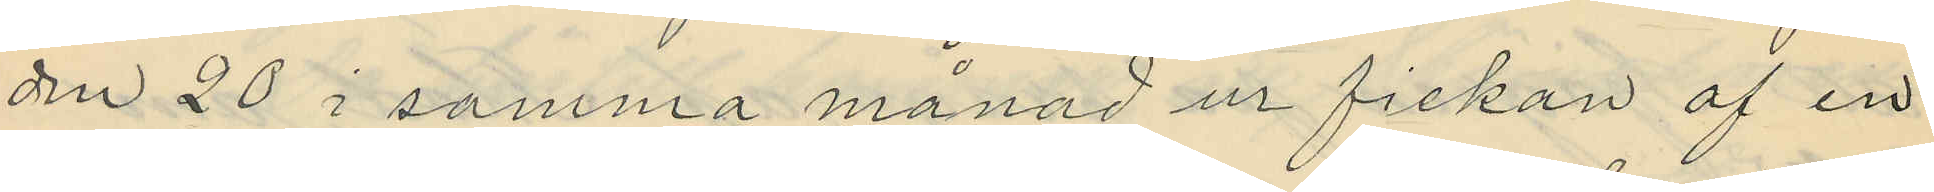den 20 i samma månad ur fickan af en
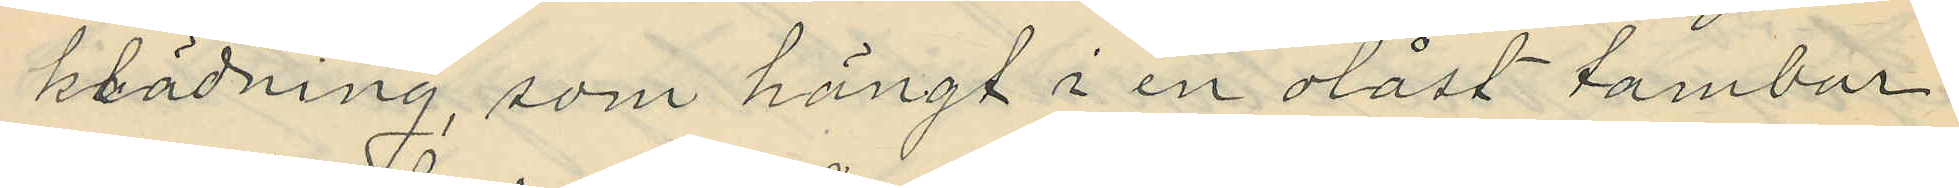klädning, som hängt i en olåst tambur
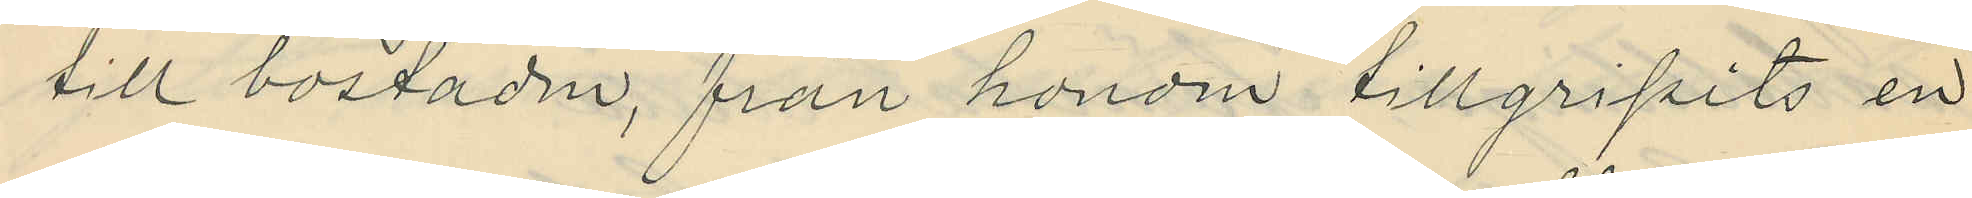till bostaden, från honom tillgripits en
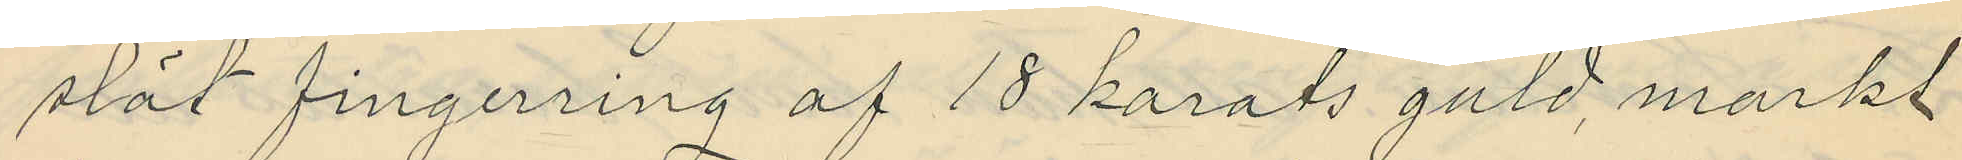slät fingerring af 18 karats guld, markt
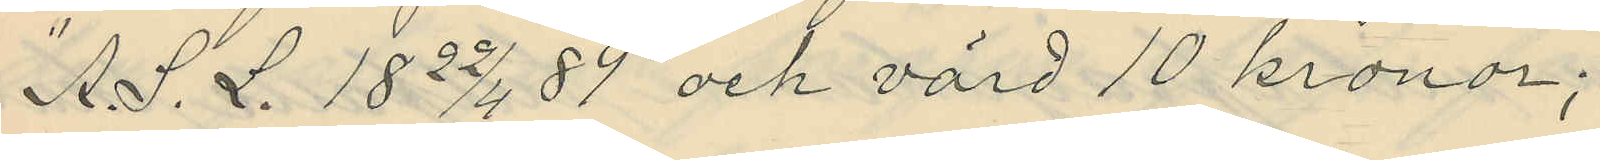"A. S. L. 18 22/4 89" och värd 10 kronor;
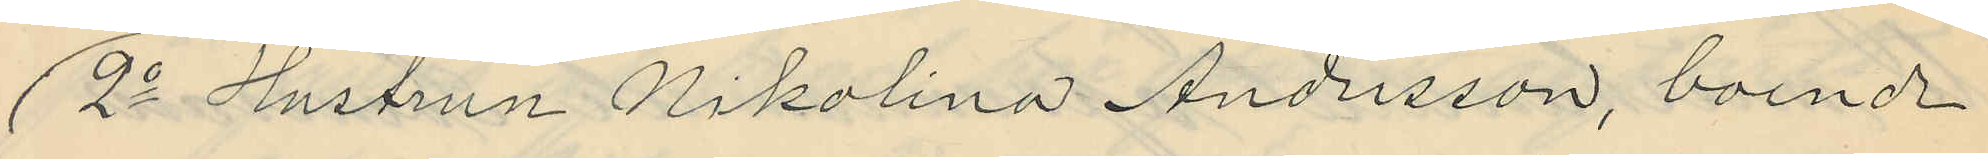2o Hustrun Nikolina Andersson, boende
